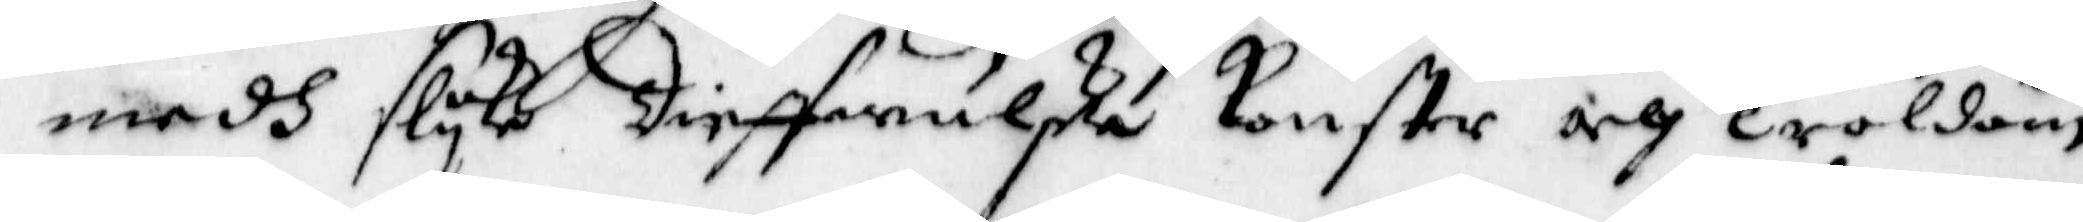medh slyke Diefwulska Konster och Troldom
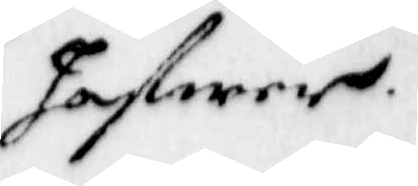hafwer
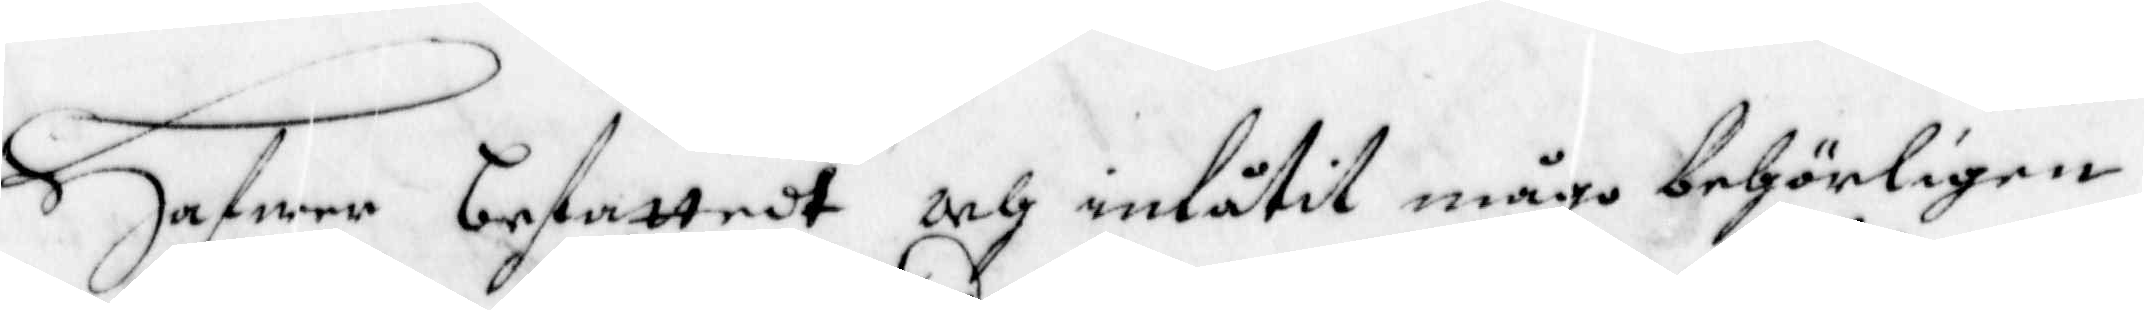Hafwer befattedt och inlåtit mågo behörligen
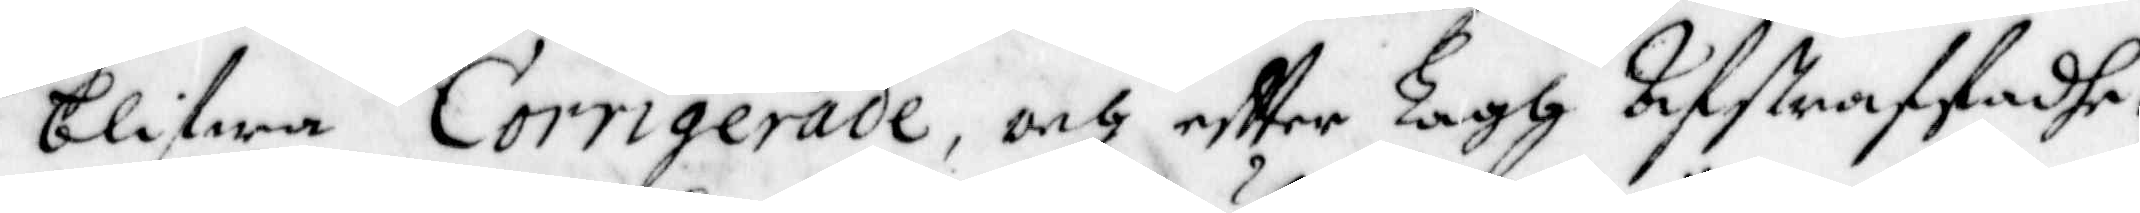blifwa Corrigerade, och eftter Lagh Lifstraffadhe,
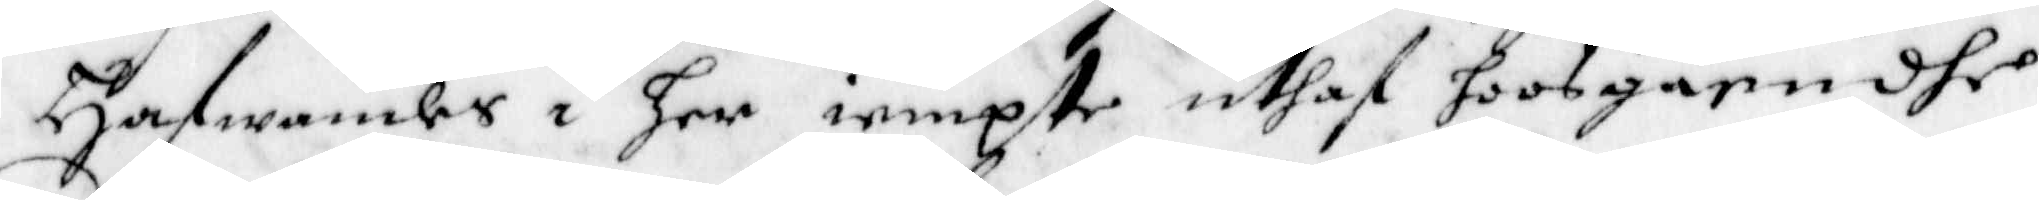Hafwandes i her iempte uthaf hoosgåendhe
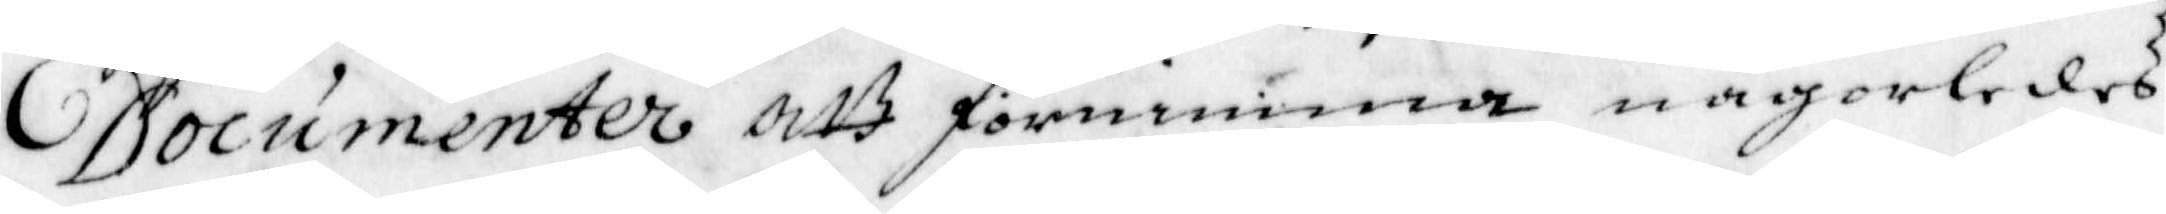Documenter att förnimma någorledes
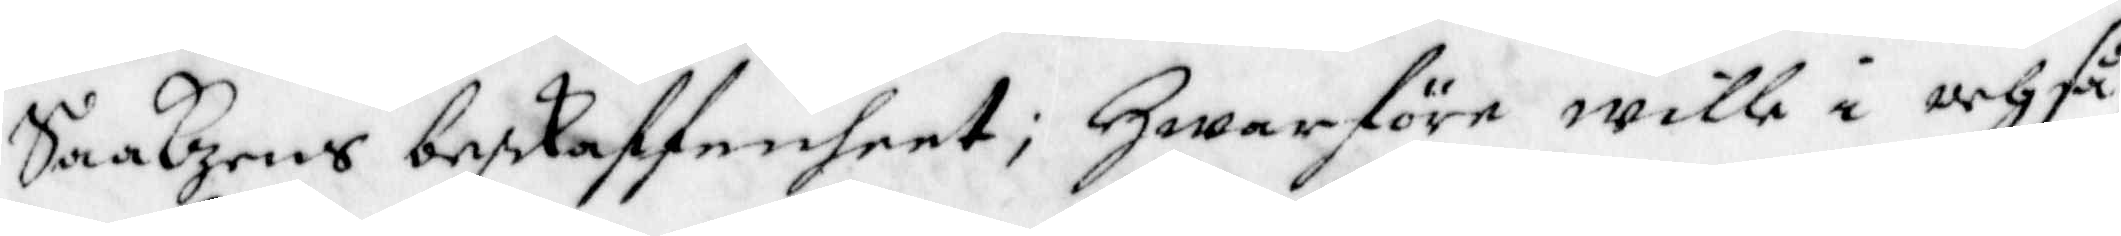Saakzens beskaffenheet; Hwarföre wille i och få
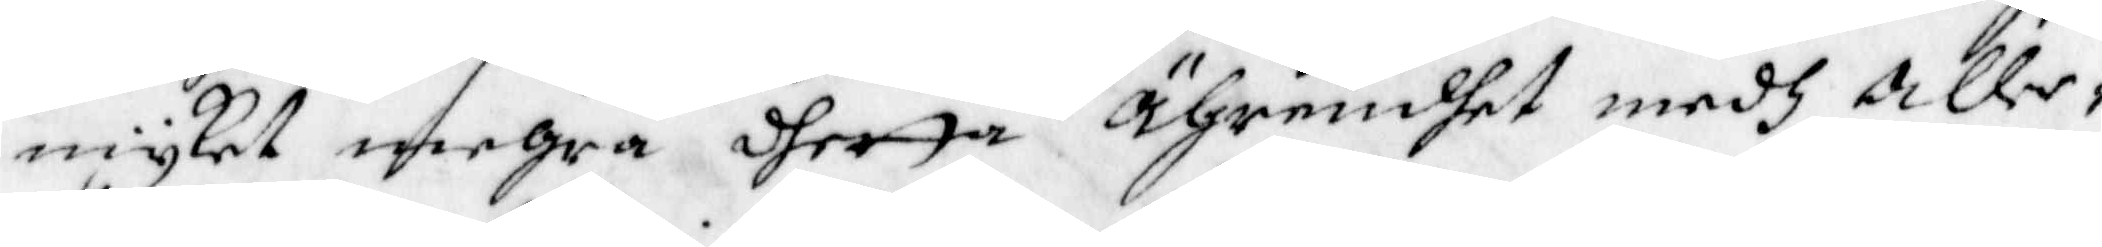myket mehra detta Ährendhet medh Alle¬
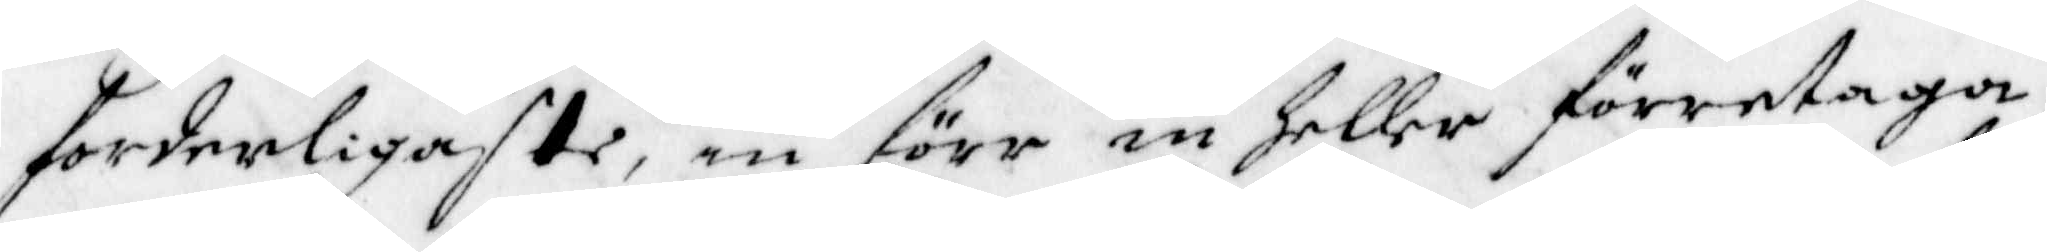forderligaste nu föreiu heller företaga,
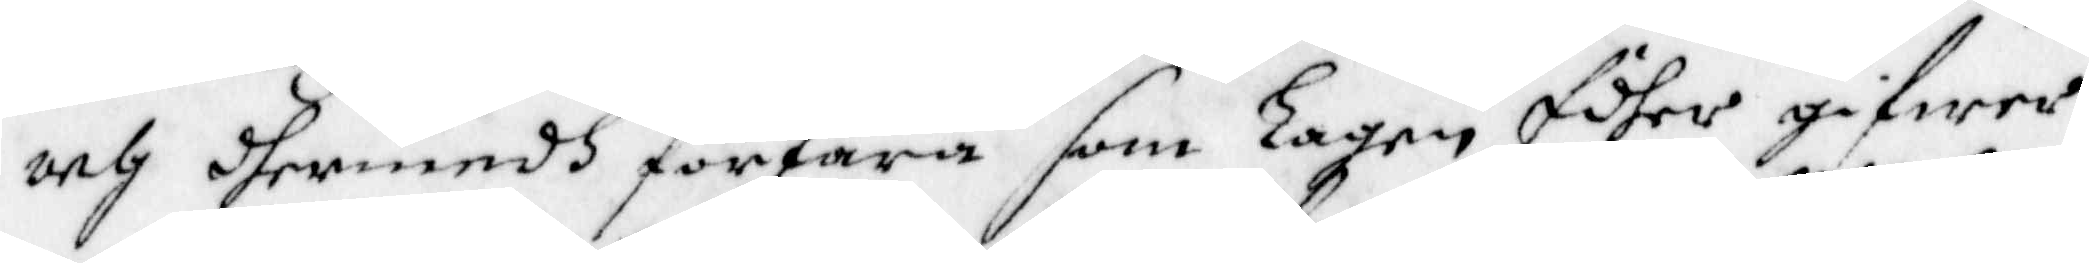och dhermedh förfara som Lagen Edher gifwer
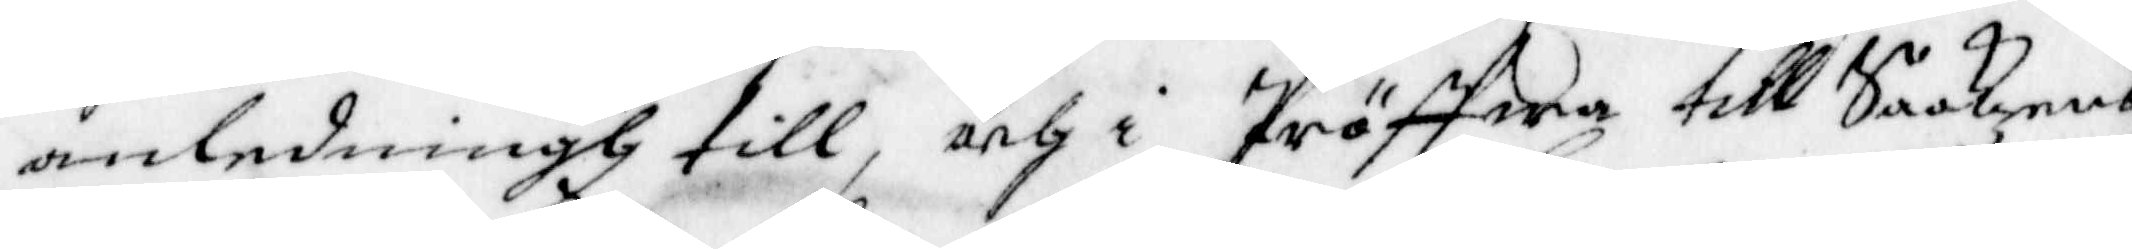anledningh till, och i Pröffwa till Saakens
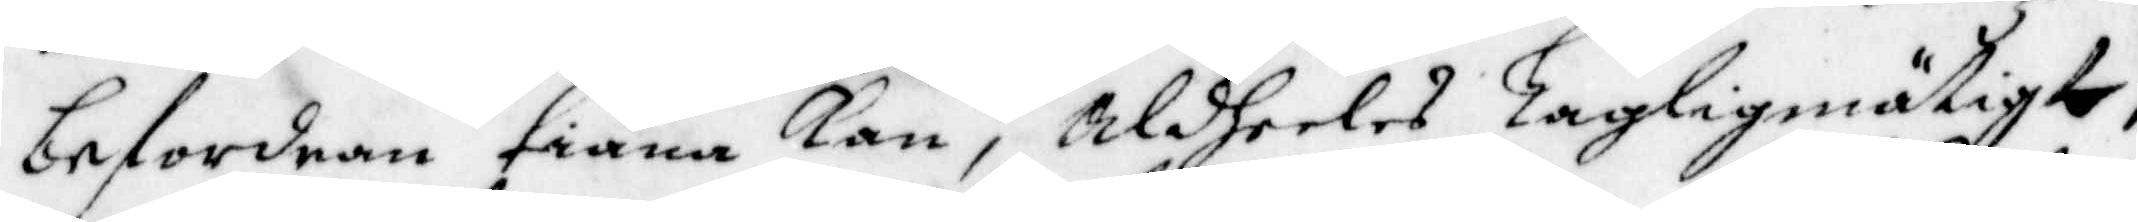befordran tiäna kan, aldeeles Lagligmätigte;
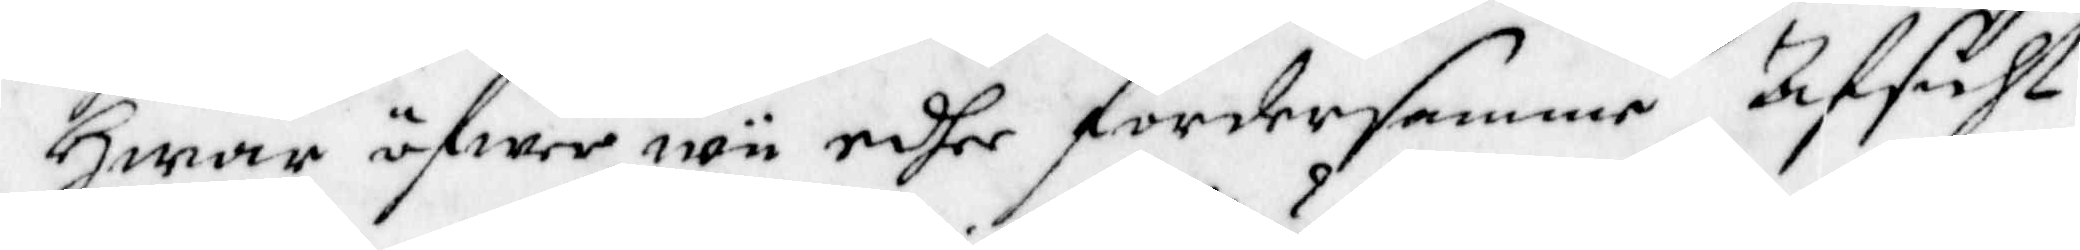Hwar öfwer wii edher fordersamme afsikt
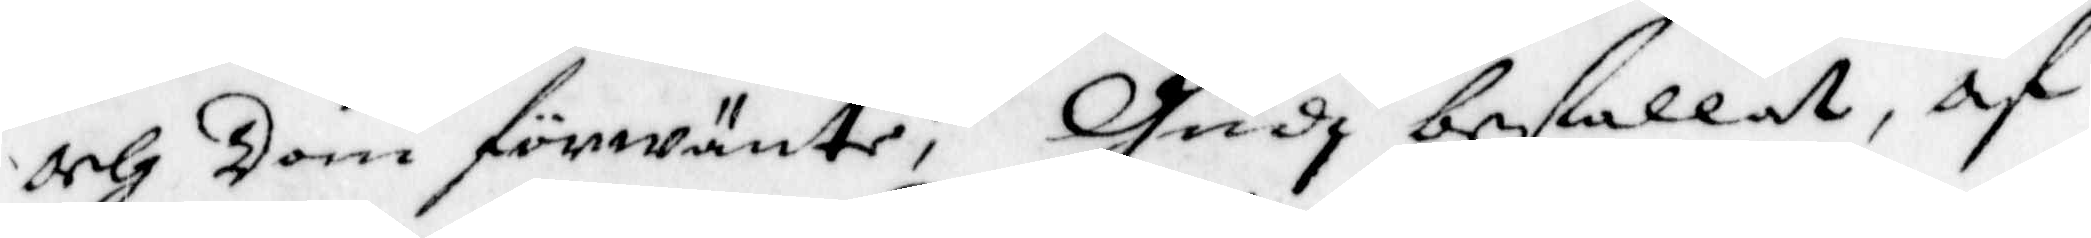och Dom förwäntar; Gudi befallt, af
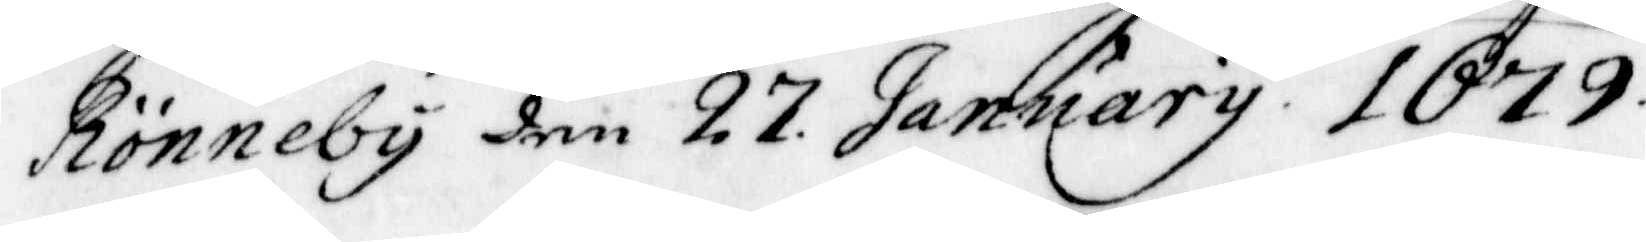Rönneby den 27 January 1679.
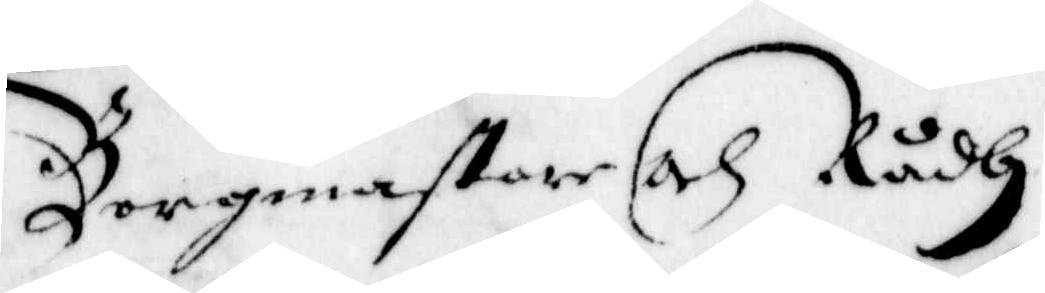Borgmastare och Rådh
